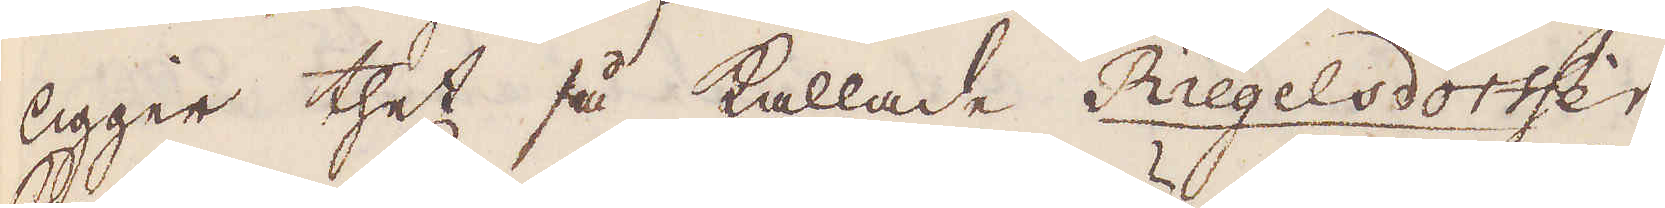ligger thet så kallade Riegelsdorffer
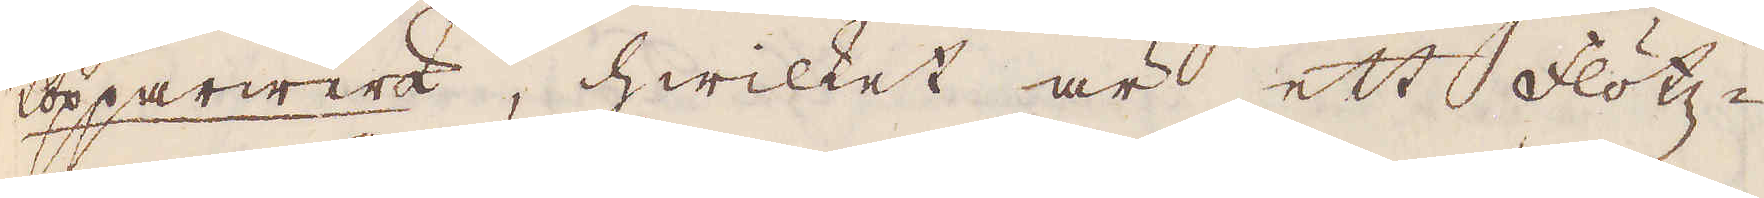kopparwerk, hwilket är ett flötz-
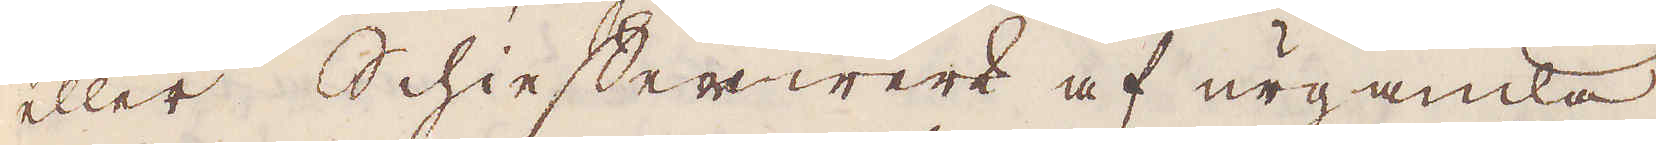eller Schiefferwerk af urgamla
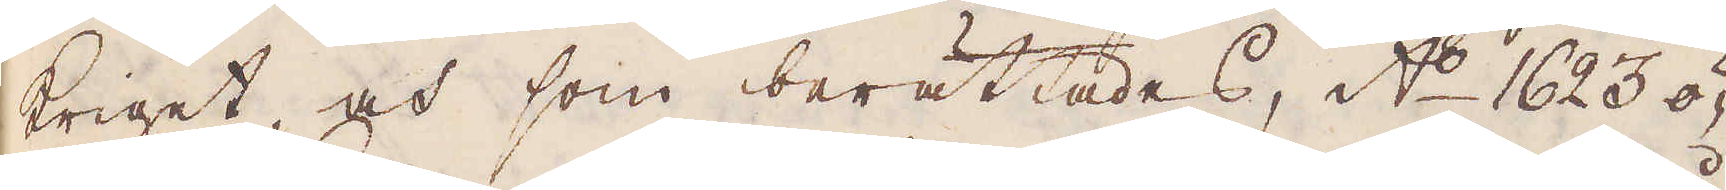kriget, och som berättades, A:o 1623 ö-
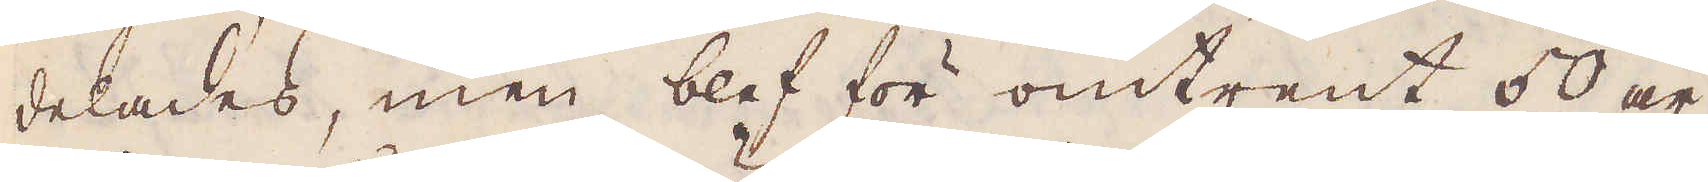delades, men blef för omtrent 50 år,
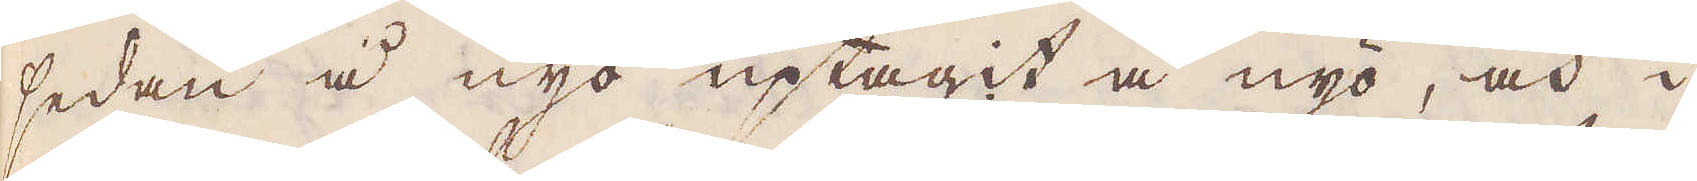sedan i nyo uptagit å nyo, och i
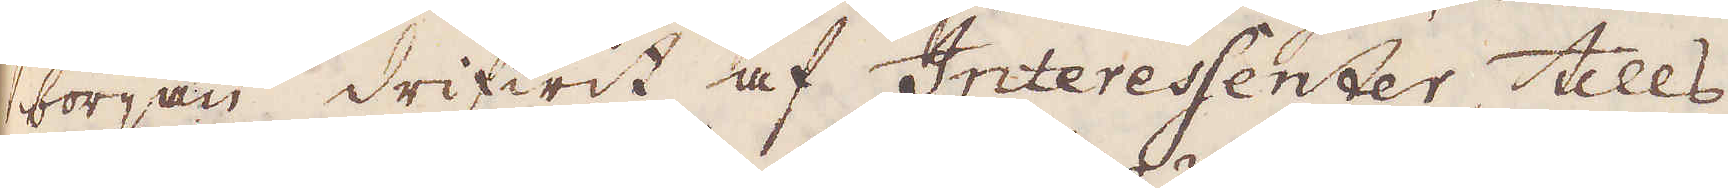början drifwit af Interessenter, tills
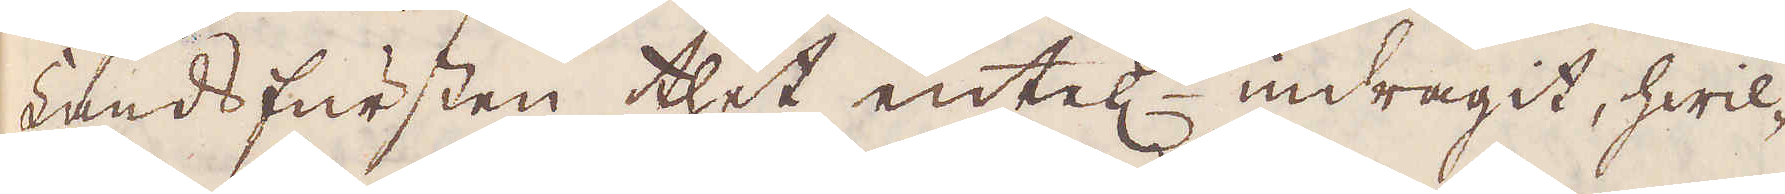Landsfursten thet entet indragit, hwil-
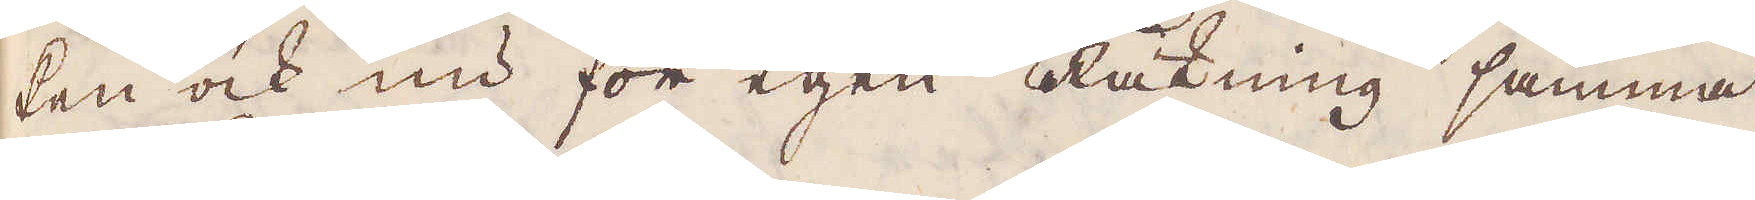ken ock nu för egen Räkning samma
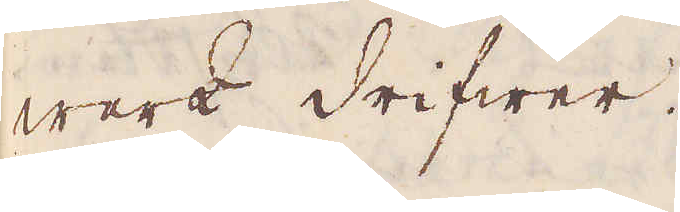werk drifwer.
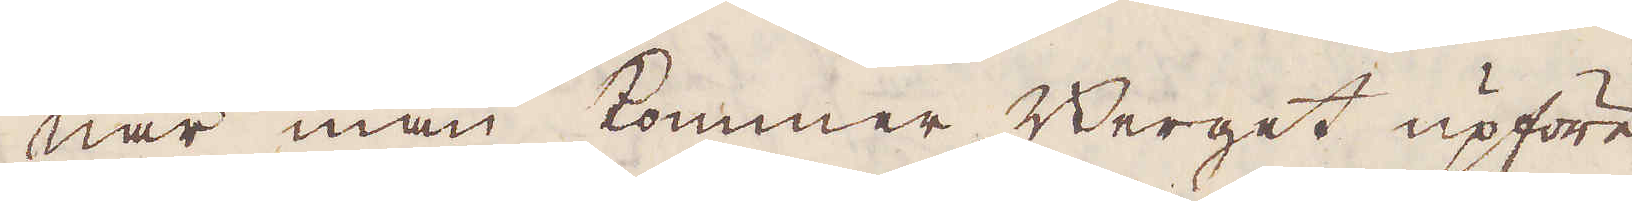När man kommer Berget upföre
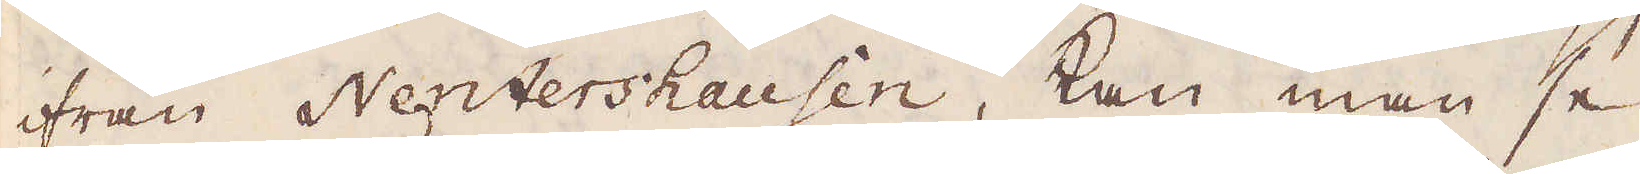ifrån Nentershausen, kan man se
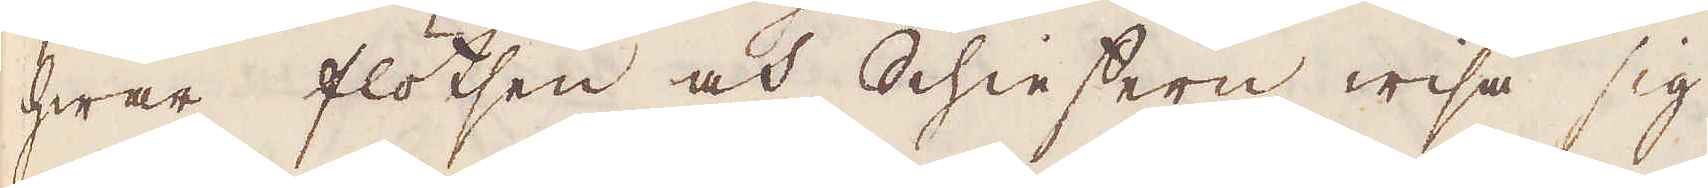hwar flötsen och Schieffern wisa sig
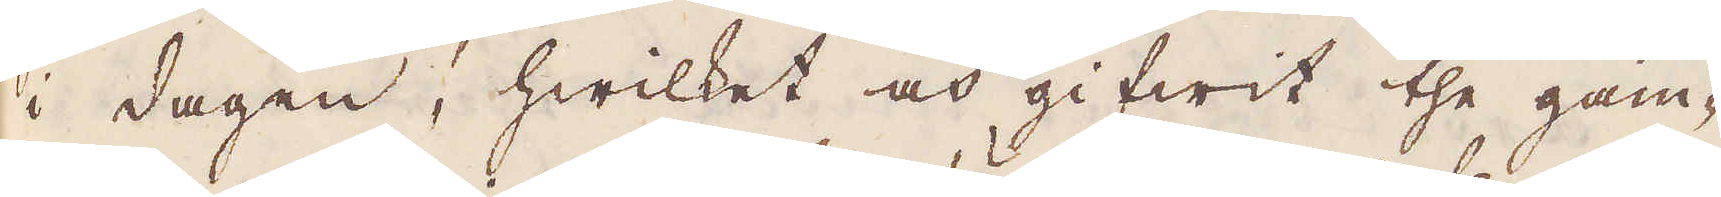i dagen, hwilket och gifwit the gam-
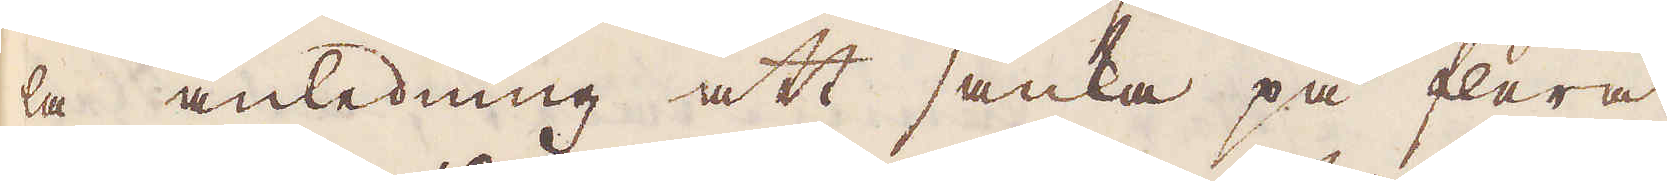la anledning att sänka på flera
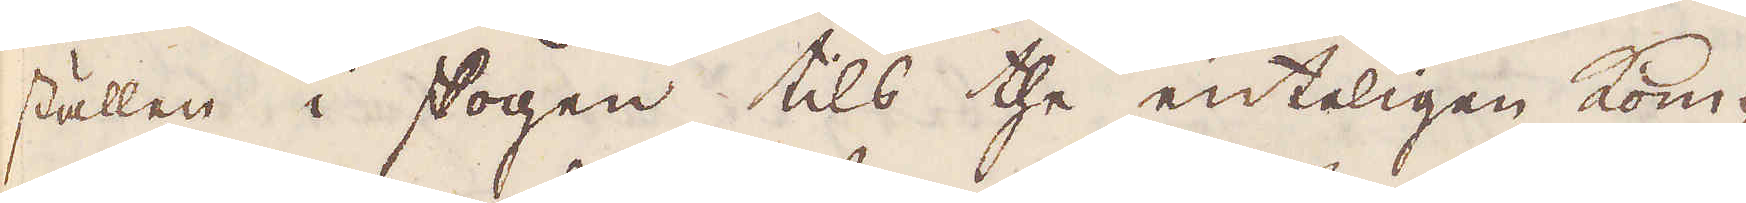ställen i skogen tils the enteligen kom-
